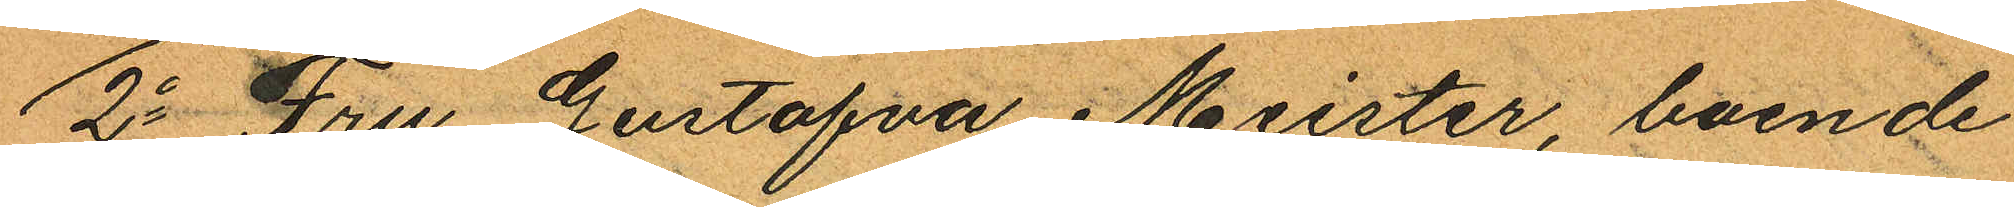2o Fru Gustafva Meister, boende
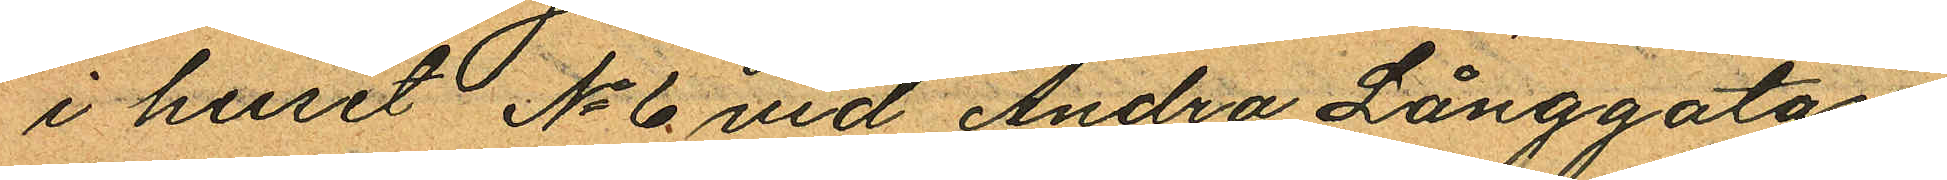i huset No 6 vid Andra Långgatan
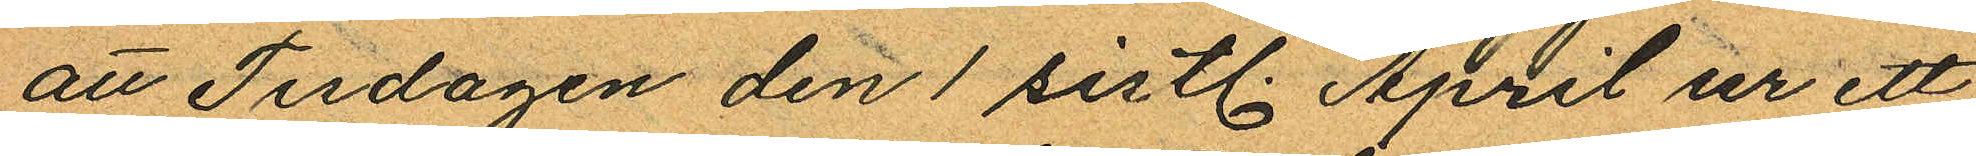att Tisdagen den 1 sistl. April ur ett
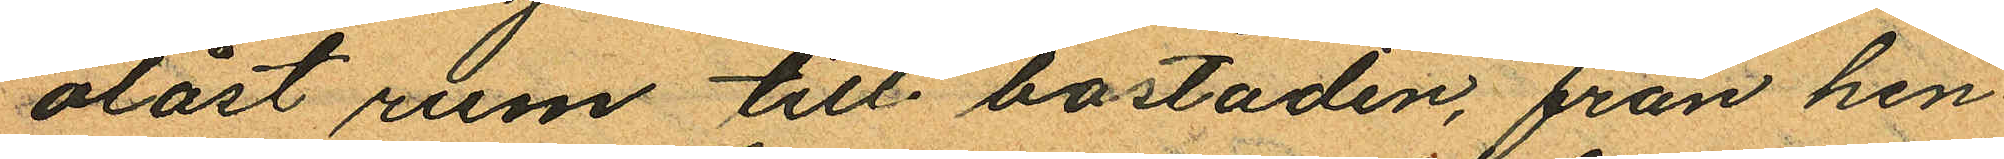olåst rum till bostaden, från hen¬
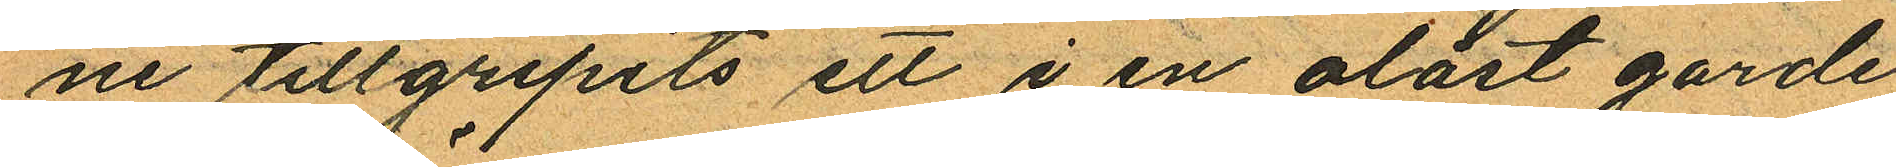ne tillgripits ett i en olåst garde¬
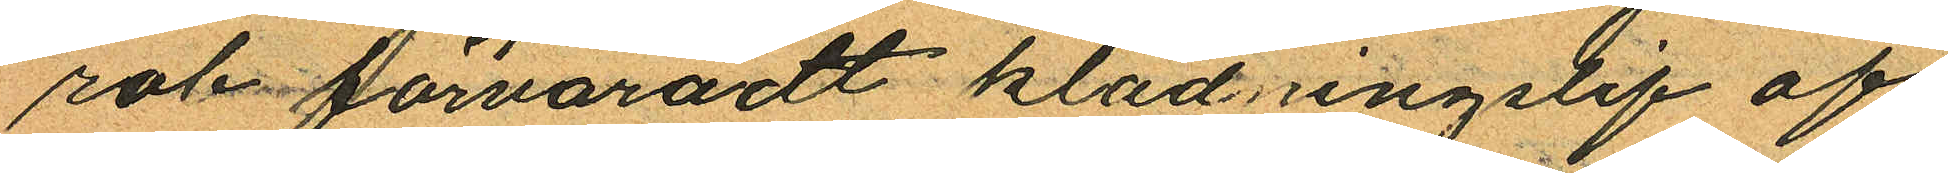rob förvaradt klädringslif af
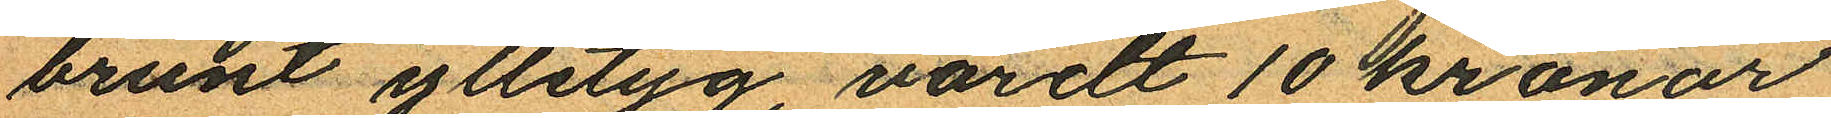brunt ylletyg värdt 10 kronor
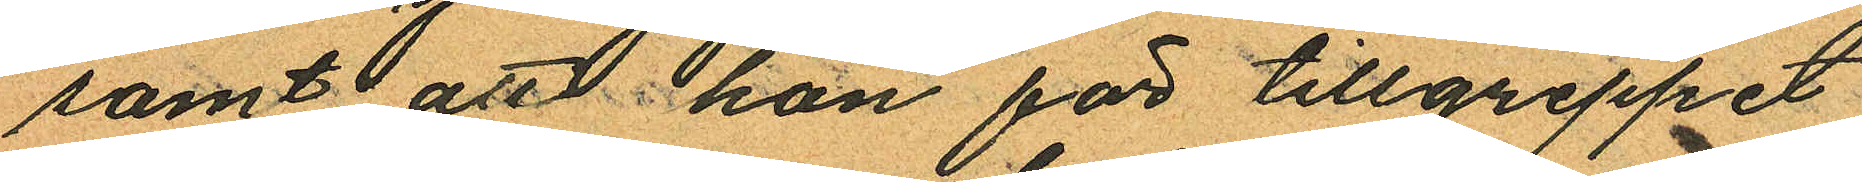samt att hon för tillgreppet
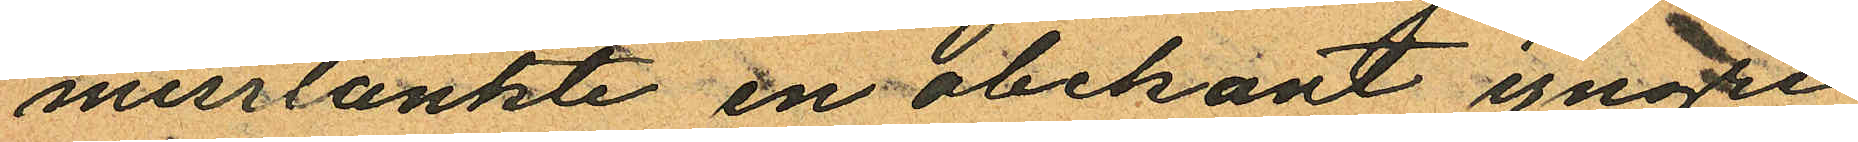misstänkte en obekant yngre
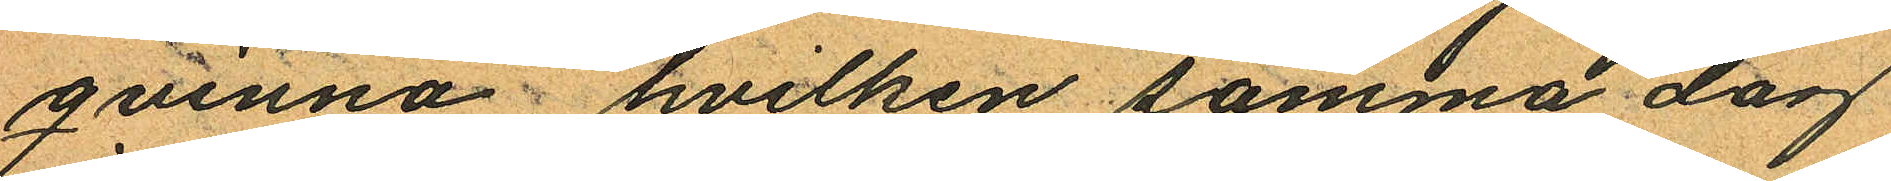qvinna; hvilken samma dag
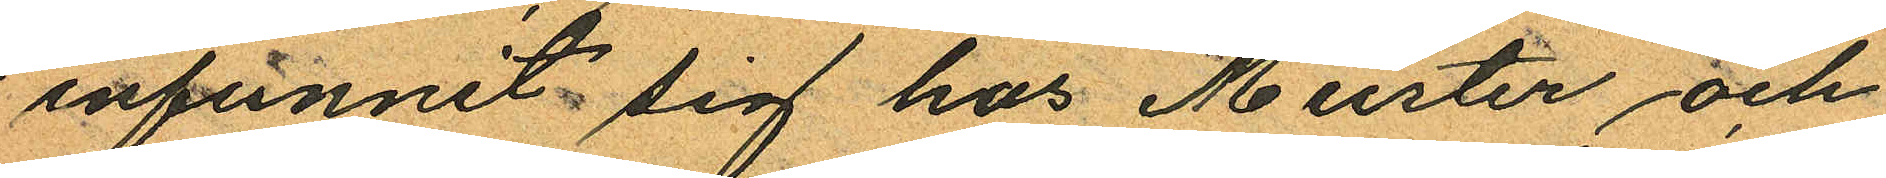infunnit sig hos Meister och
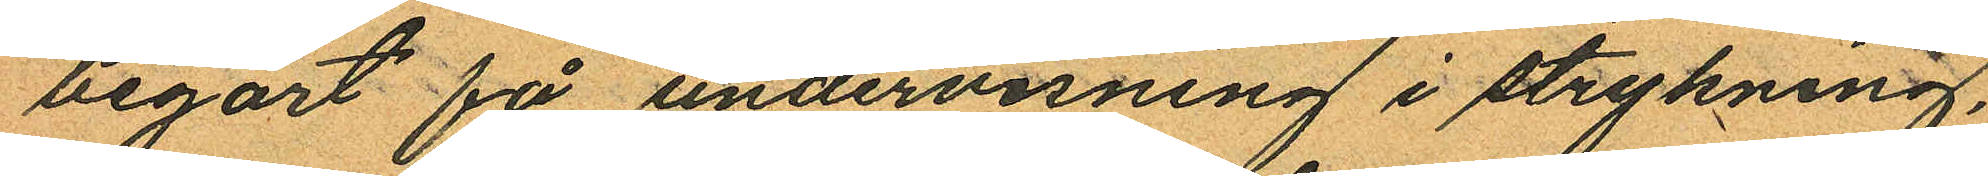begort få undervisning i strykning,
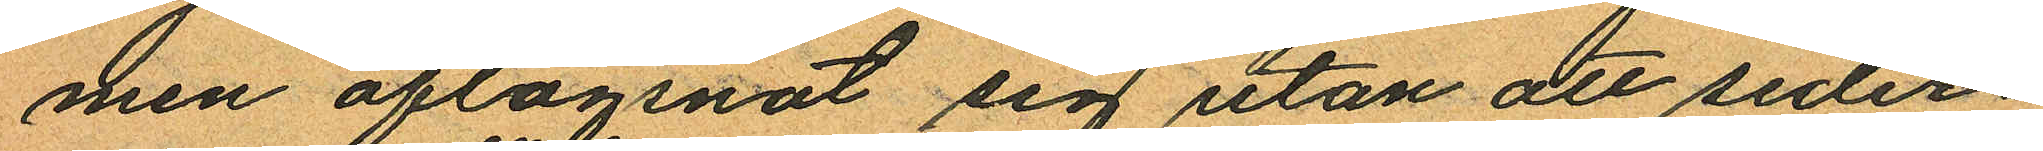men aflägsnat sig utan att seder¬
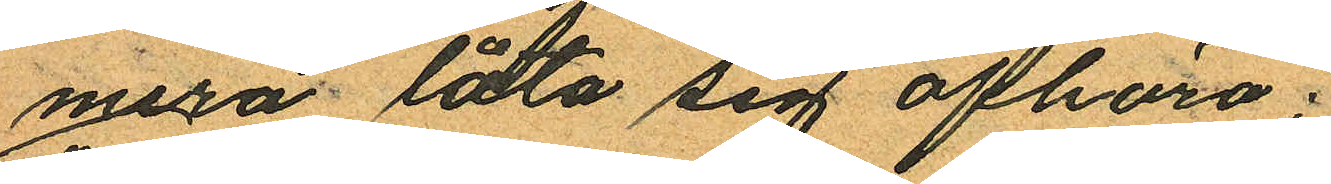mera låta sig afhöra.
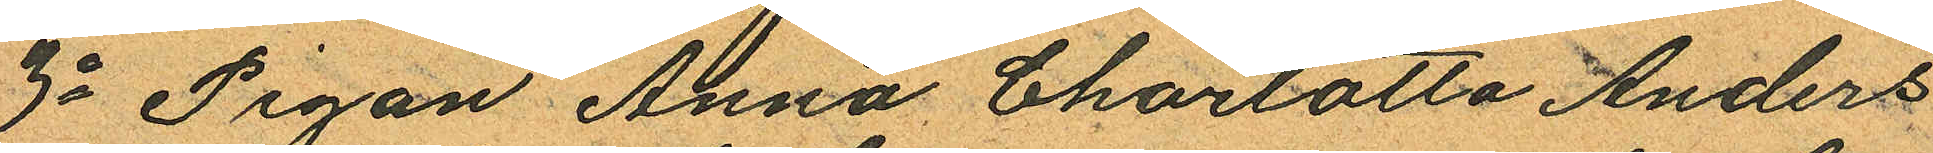3o Pigan Anna Charlotta Anders
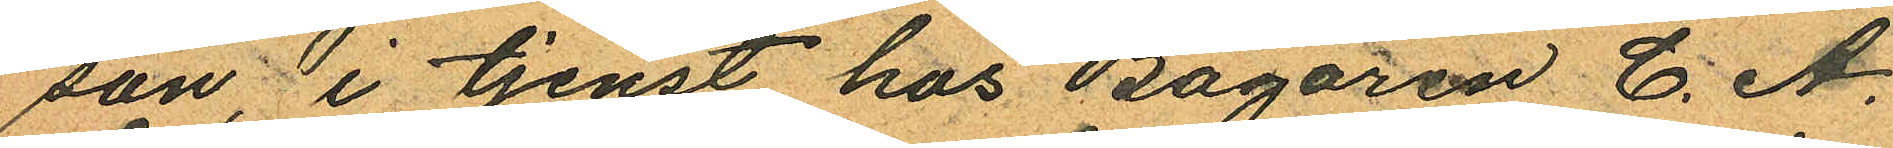son i tjenst hos Bagaren C. A.
